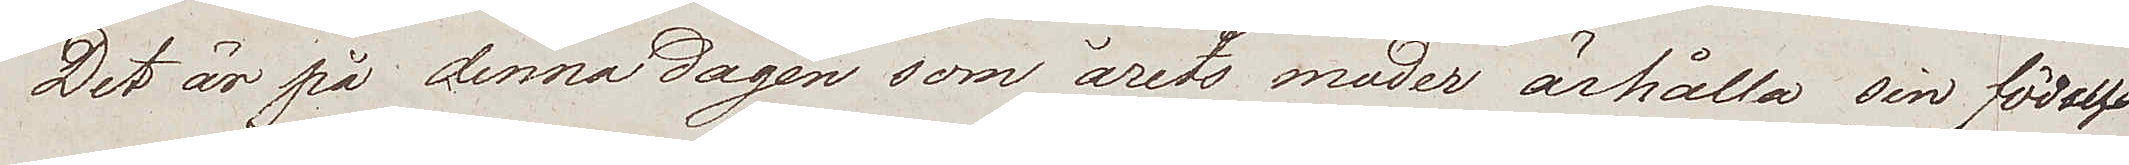Det är på denna dagen som årets moder ärhålla sin födelse
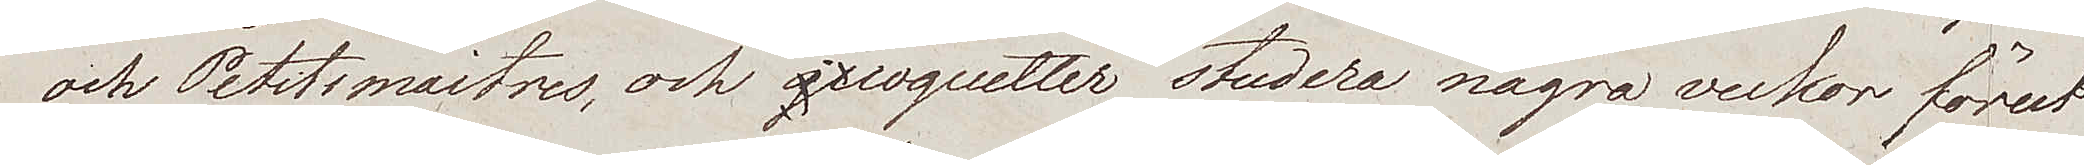och Petitsmaitres, och coquetter studera några veckor förut
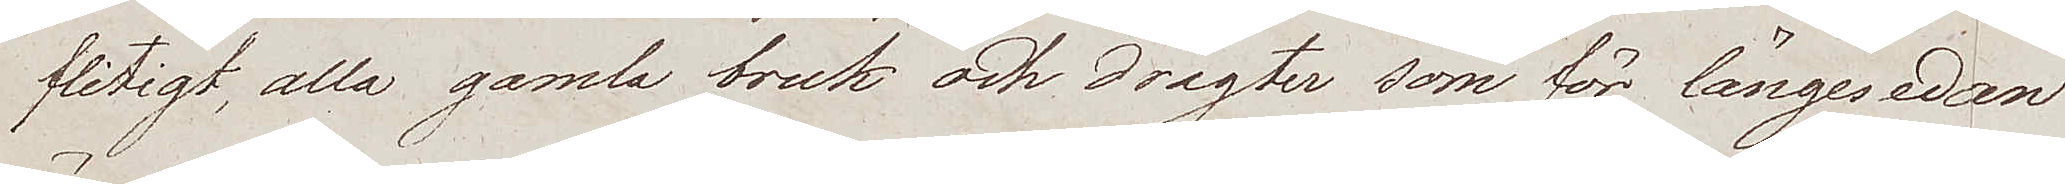flitigt, alla gamla bruk och drägter som för längesedan
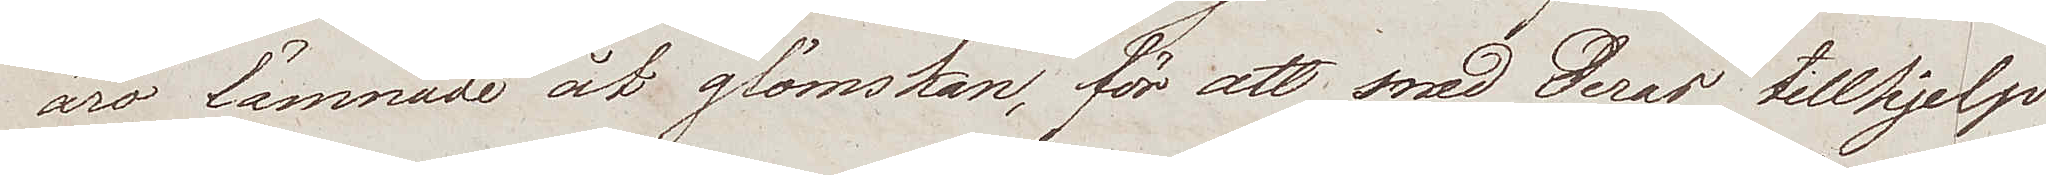äro lämnade åt glömskan, för att med deras tillhjelp
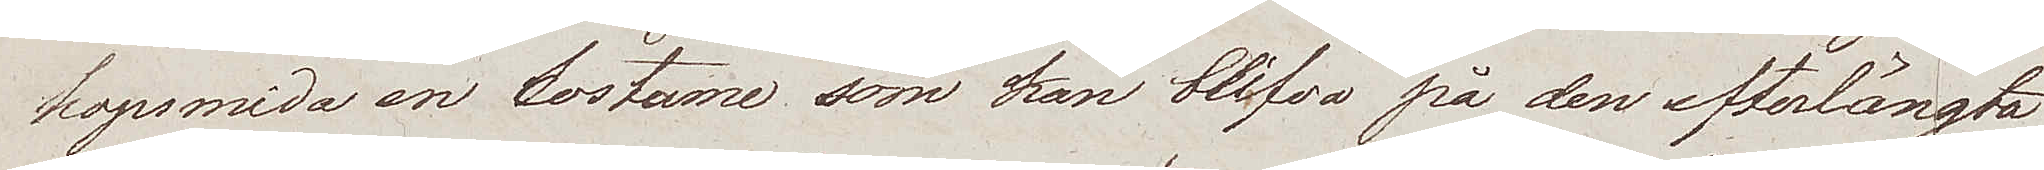hopsmida en costume som kan blifva på den efterlängta¬
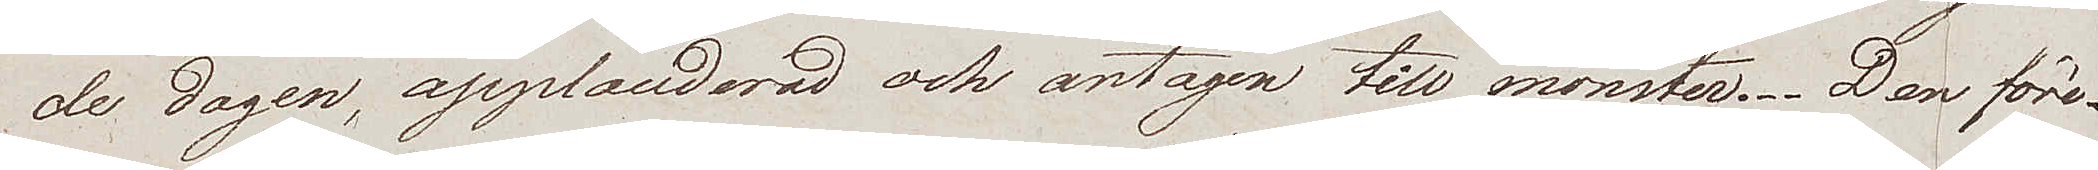de dagen, applauderad och antagen till mönster. Den före¬
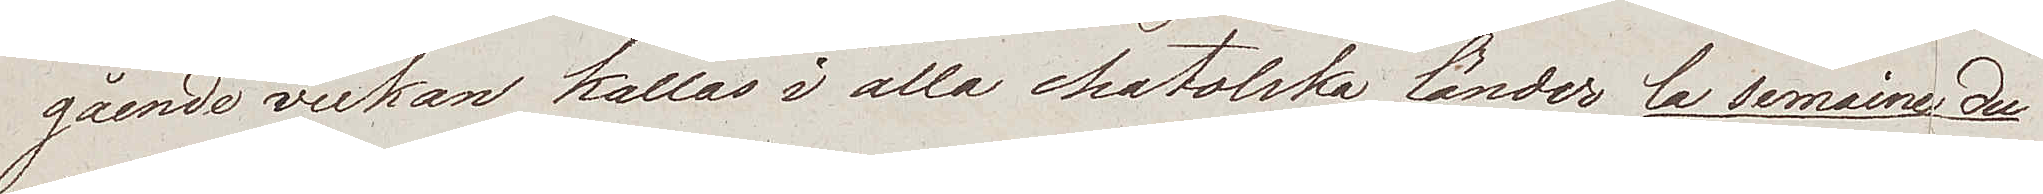gående veckan kallas i alla katolska länder la semaine du
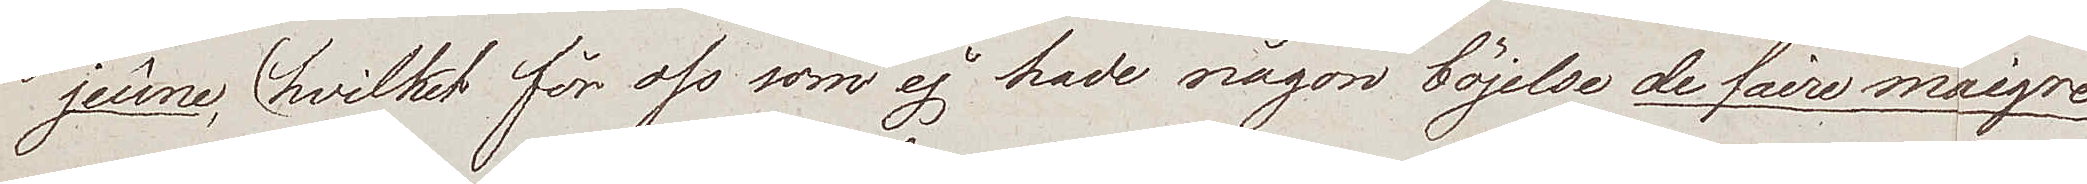jeûne, (hvilket för oss som ej hade någon böjelse de faire maigre
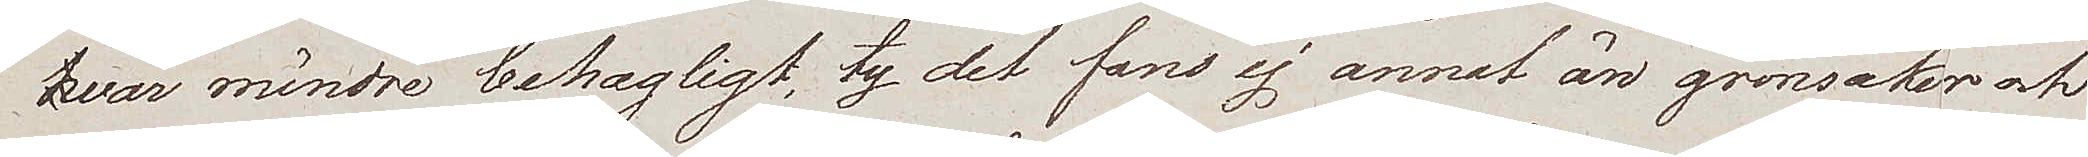var mindre behagligt, ty det fans ej annat än grönsaker och
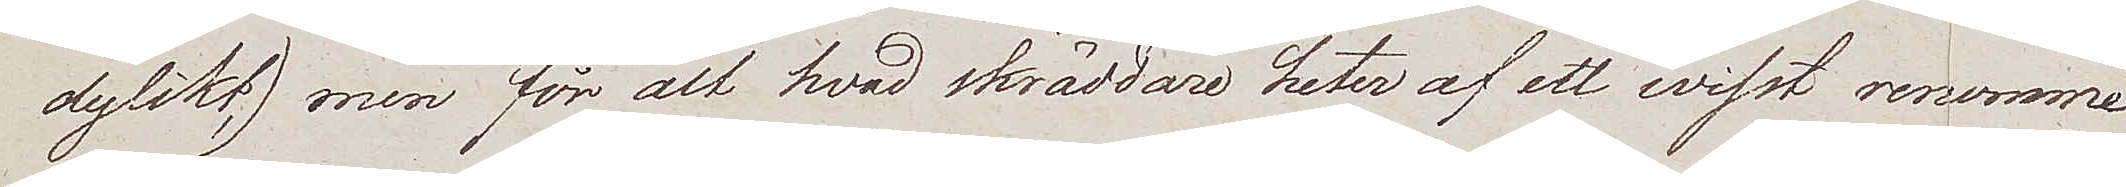dylikt,) men för alt hvad skräddare heter af ett wisst renommé
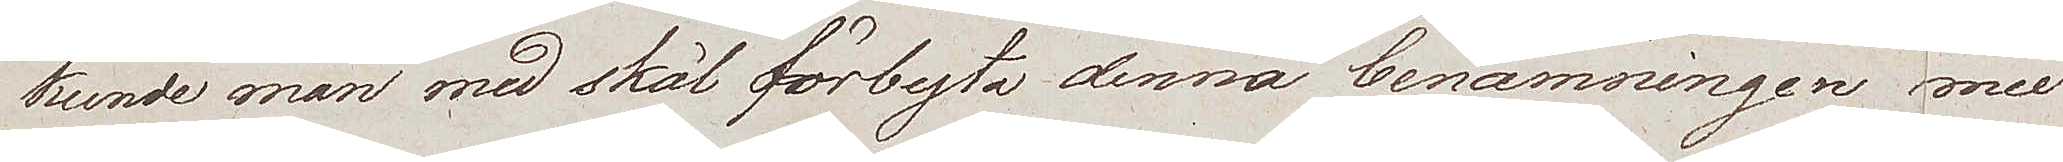kunde man med skäl förbyta denna benämningen mot
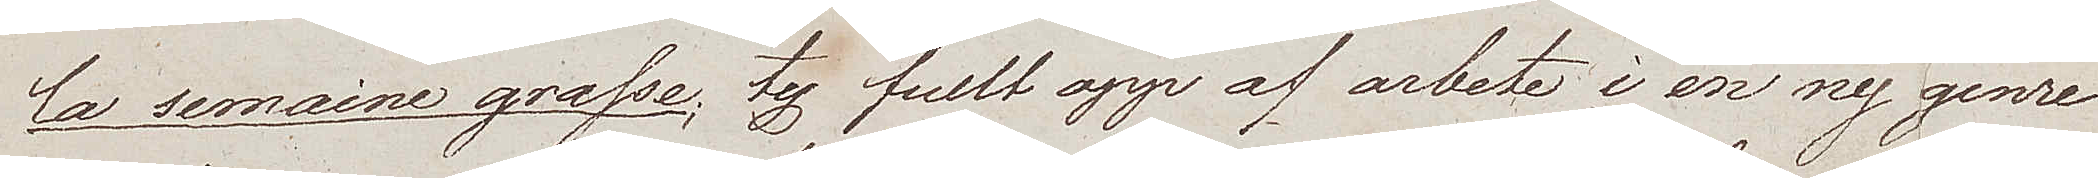la semaine grasse, ty fullt upp af arbete i en ny genre
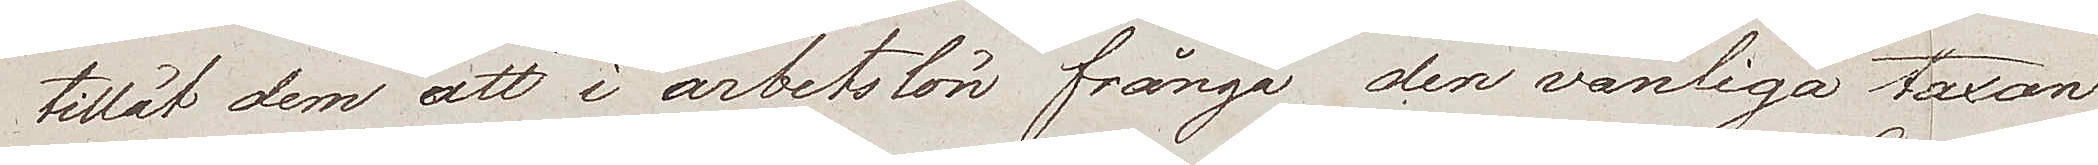tillät dem att i arbetslön frångå den vanliga taxan
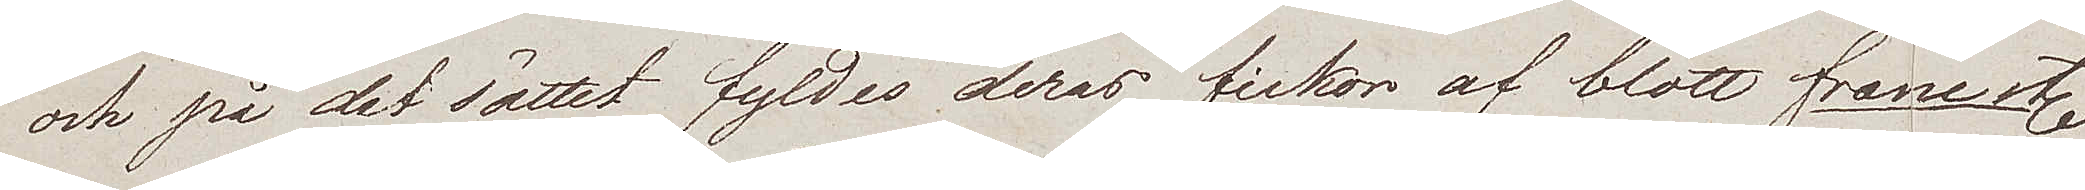och på det sättet fyldes deras fickor af blott franc etc
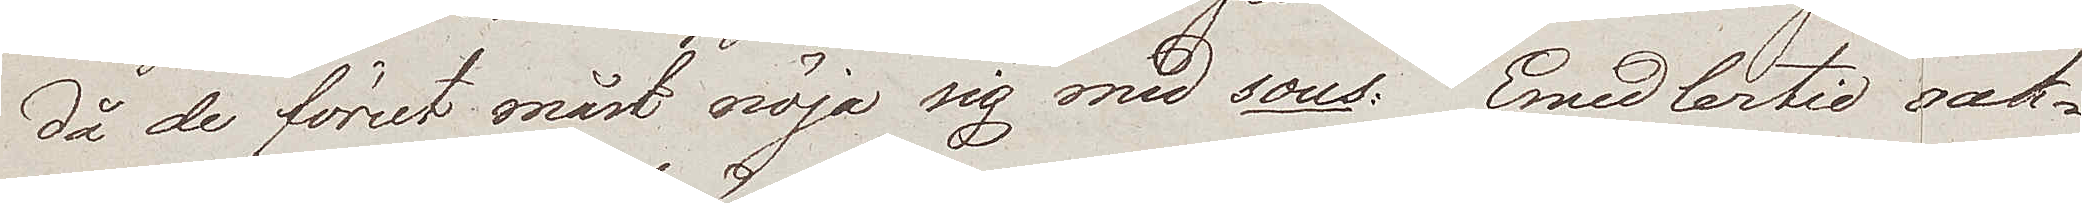då de förut måst nöja sig med sous. Emedlertid oak¬
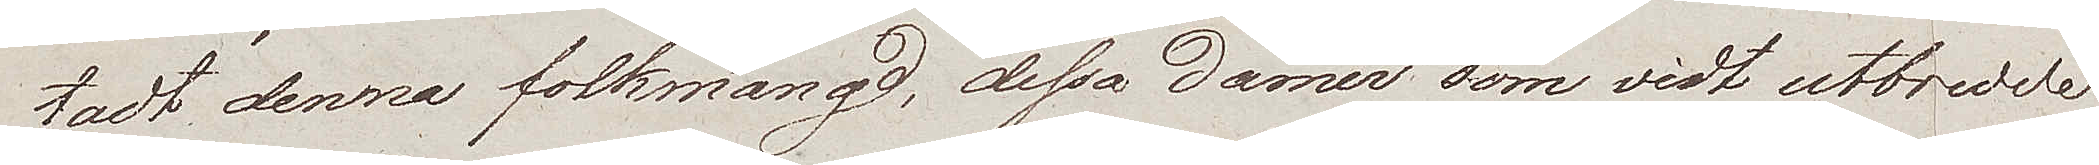tadt denna folkmängd, dessa damer, som vidt utbredde
